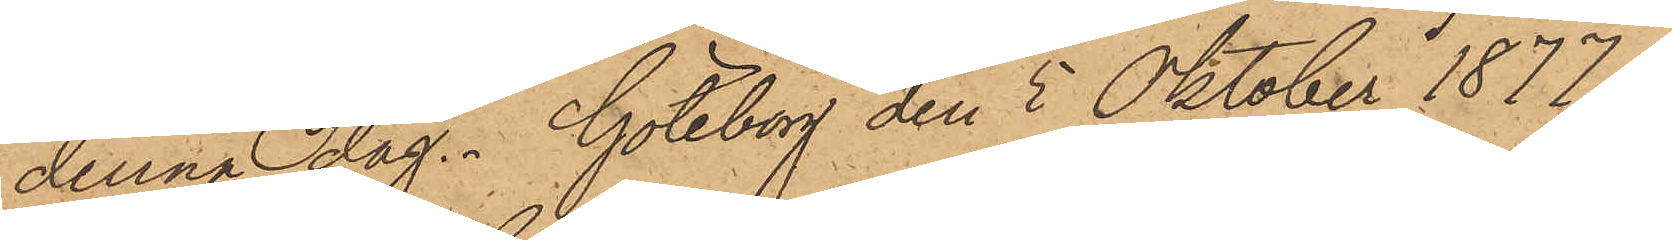denna dag. Göteborg den 5 Oktober 1877
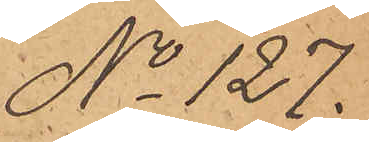No 127.
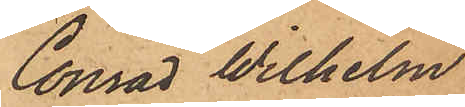Conrad Wilhelm
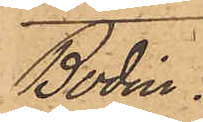Bodin.
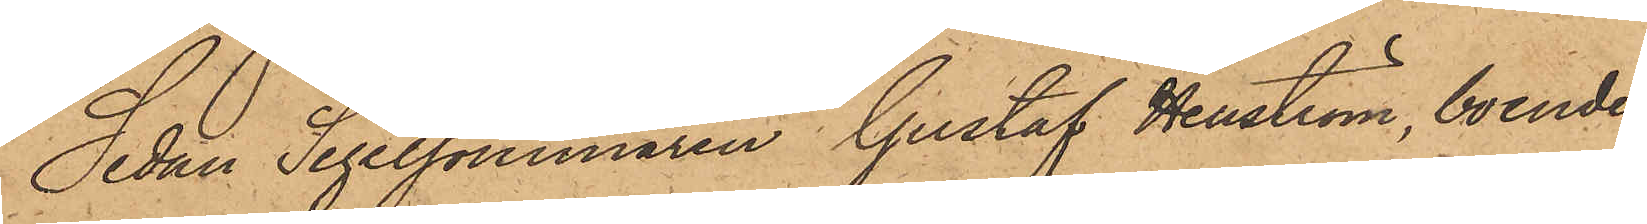Sedan Segelsömmaren Gustaf Henström, boende
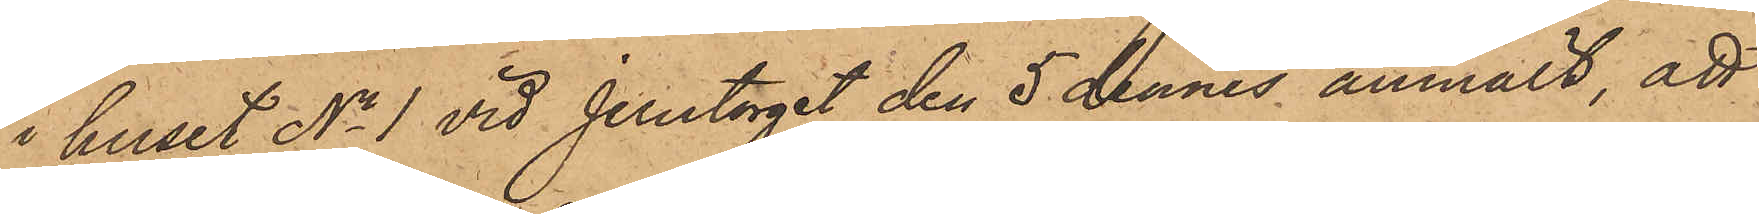i huset No 1 vid Jerntorget den 5 dennes anmält, att
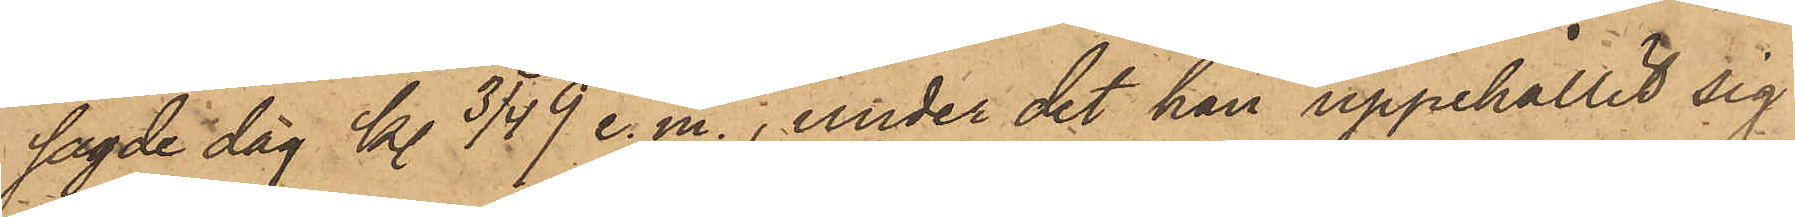sagde dag kl. 3/4 9 e.m., under det han uppehållit sig
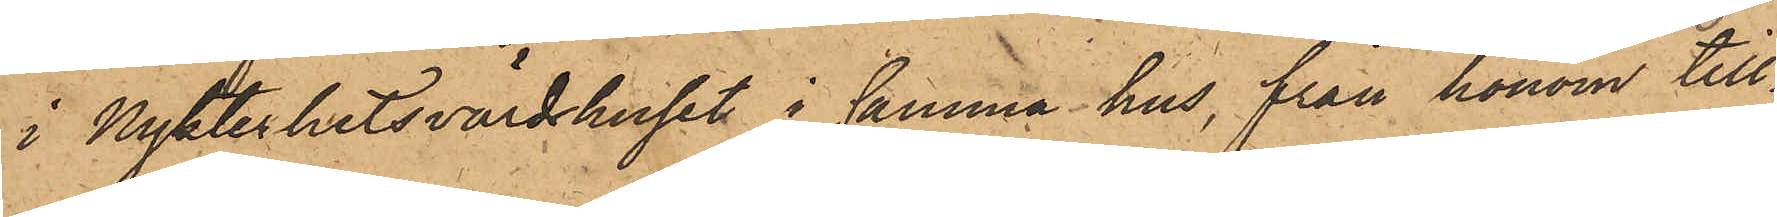i Nykterhetsvärdshuset i samma hus, från honom till¬
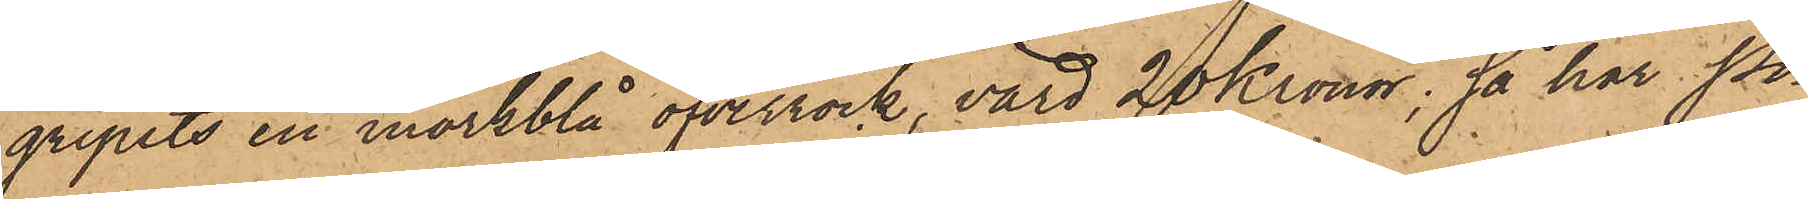gripits en mörkblå öfverrock, värd 20 Kronor; så har Po¬
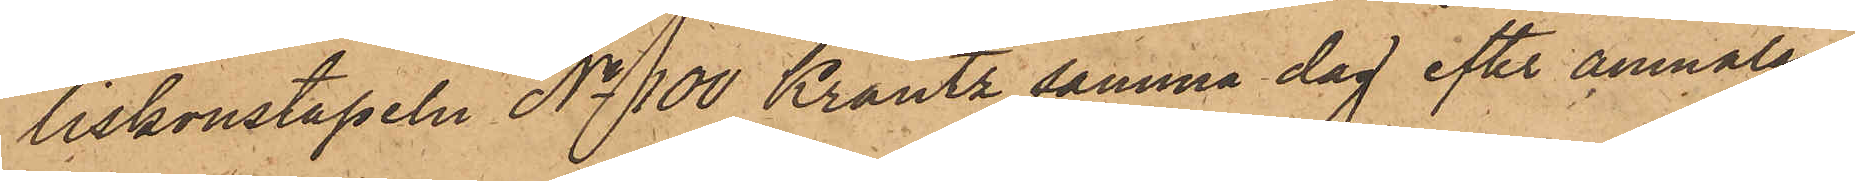liskonstapeln No 100 Krantz samma dag efter anmälan
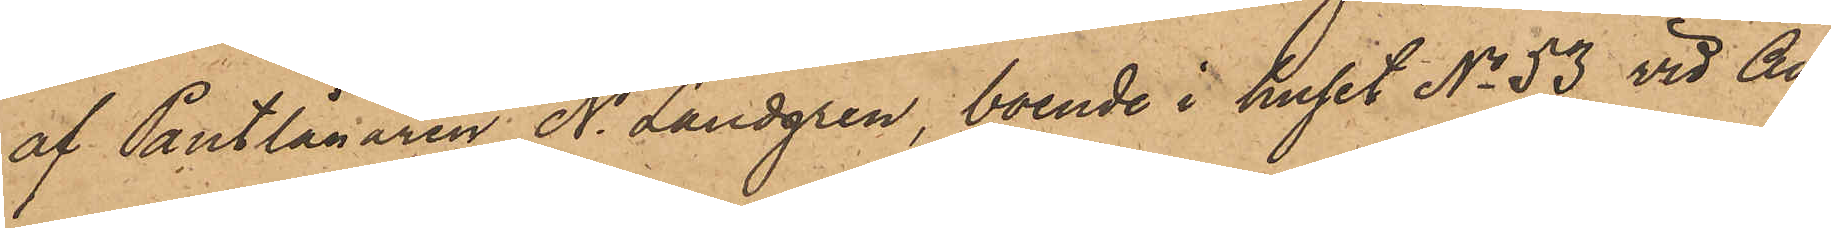af Pantlånaren N. Landgren, boende i huset No 53 vid An¬
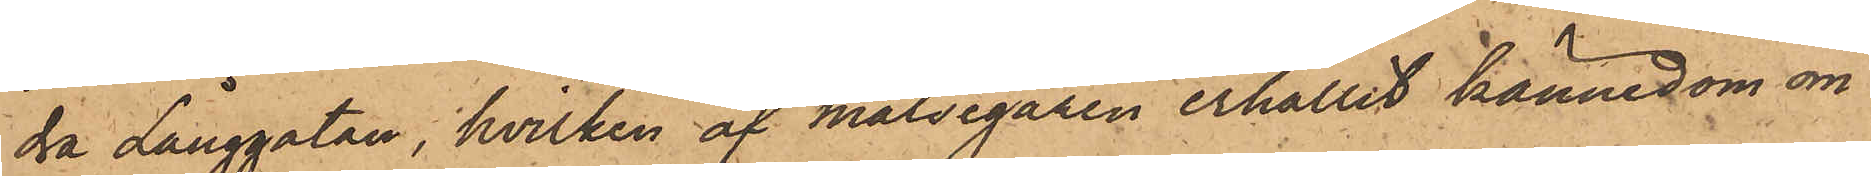dra Långgatan, hvilken af målsegaren erhållit kännedom om
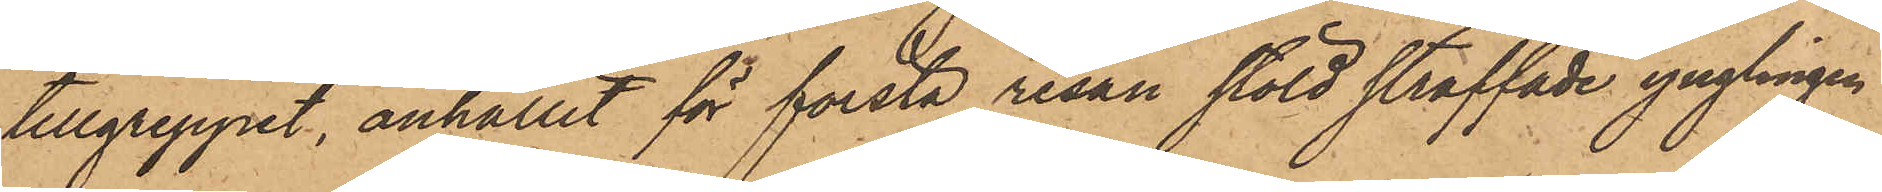tillgreppet, anhållit för första resan stöld straffade ynglingen
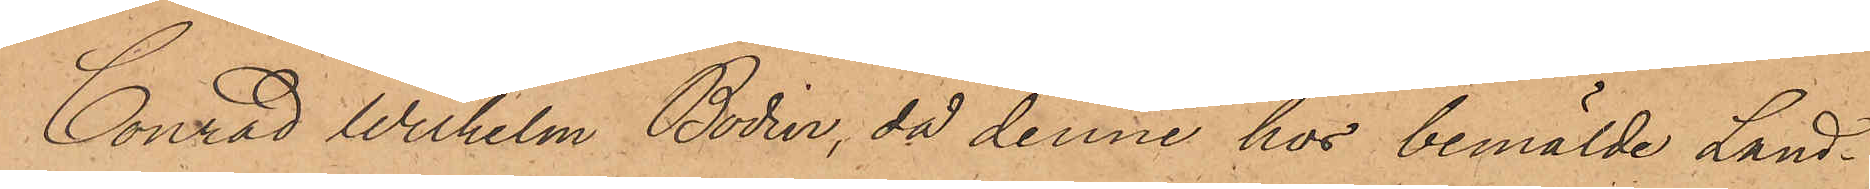Conrad Wilhelm Bodin, då denne hos bemälde Land¬
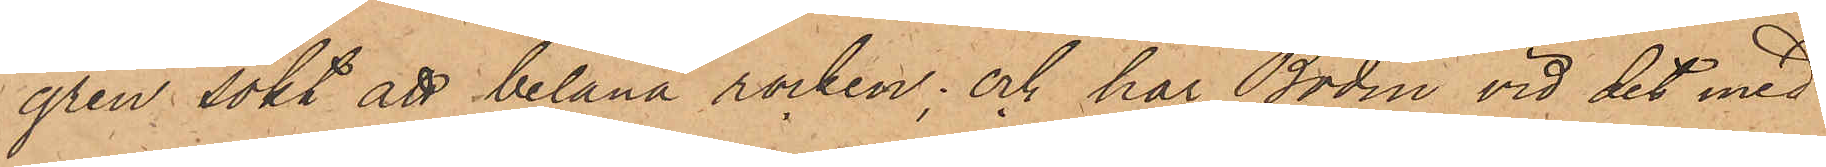gren sökt att belåna rocken; och har Bodin vid det med
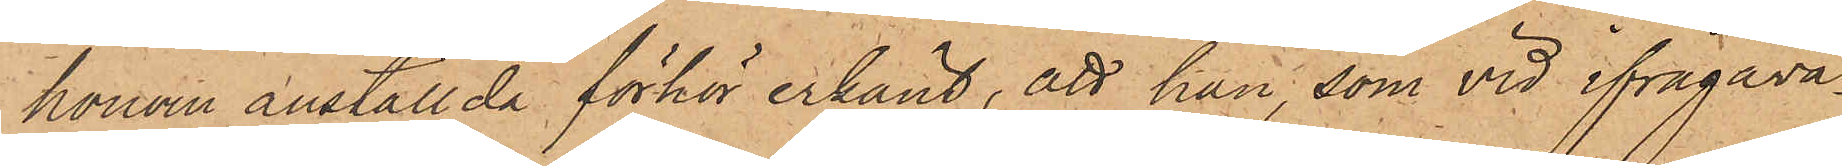honom anställda förhör erkänt, att han, som vid ifrågava¬
